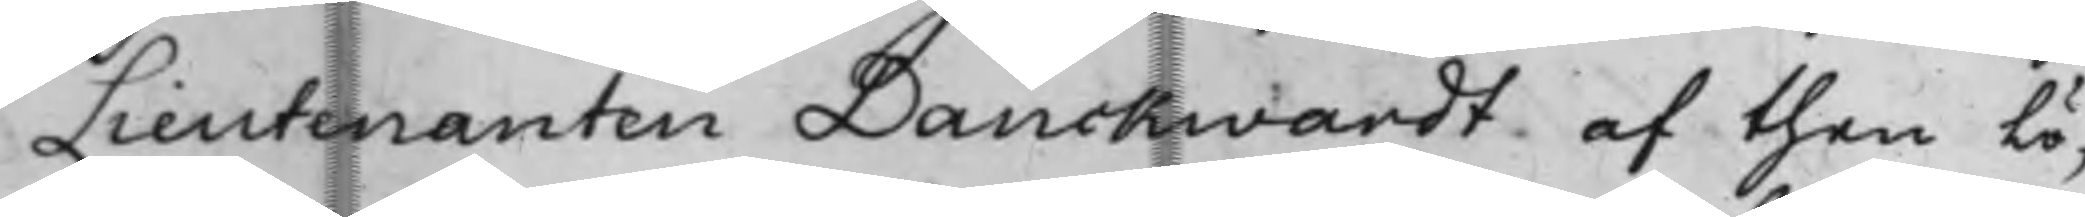Lieutenanten Danckwardt, af then lö¬
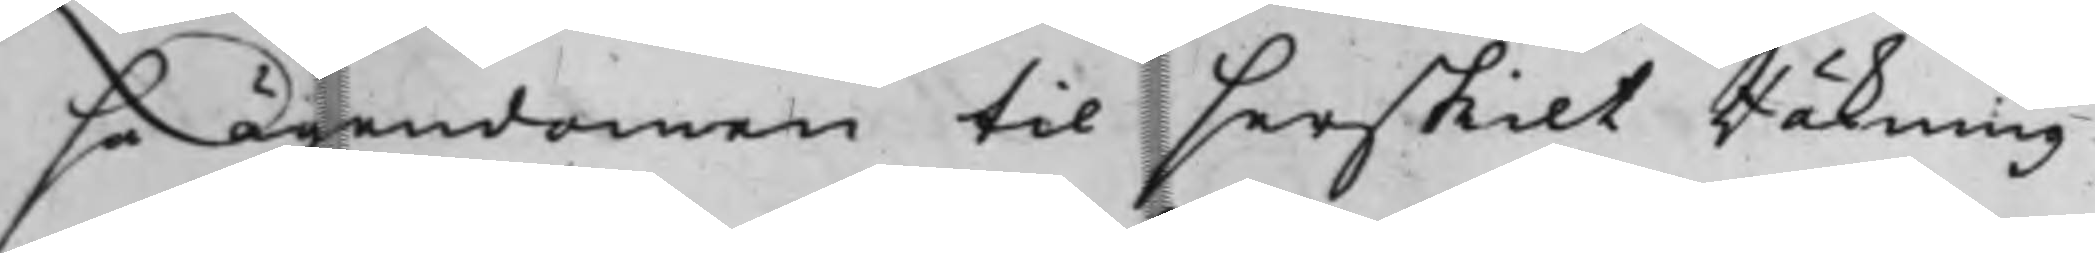sa ägendomen til serskilt Räkning
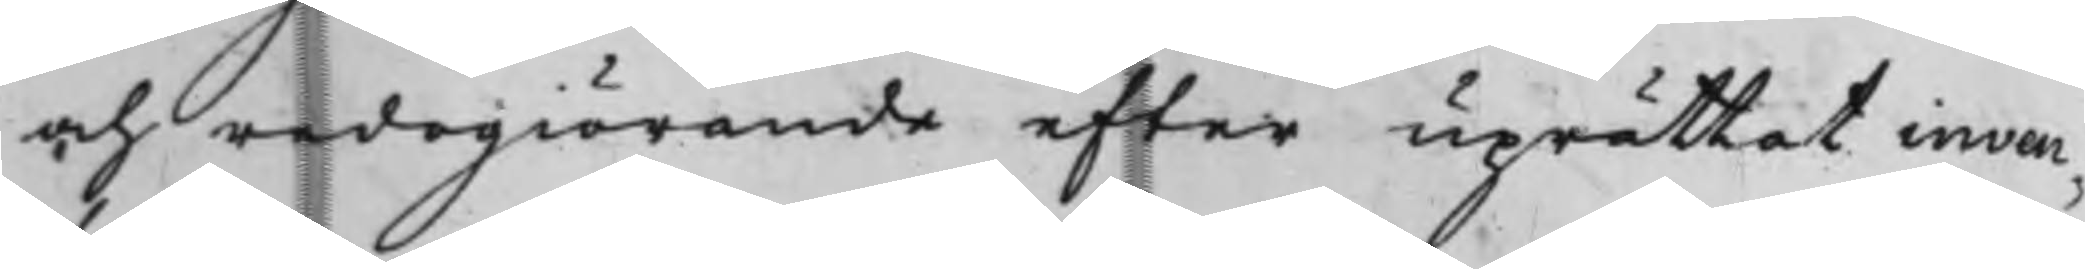och redogiörande efter uprättat inven¬
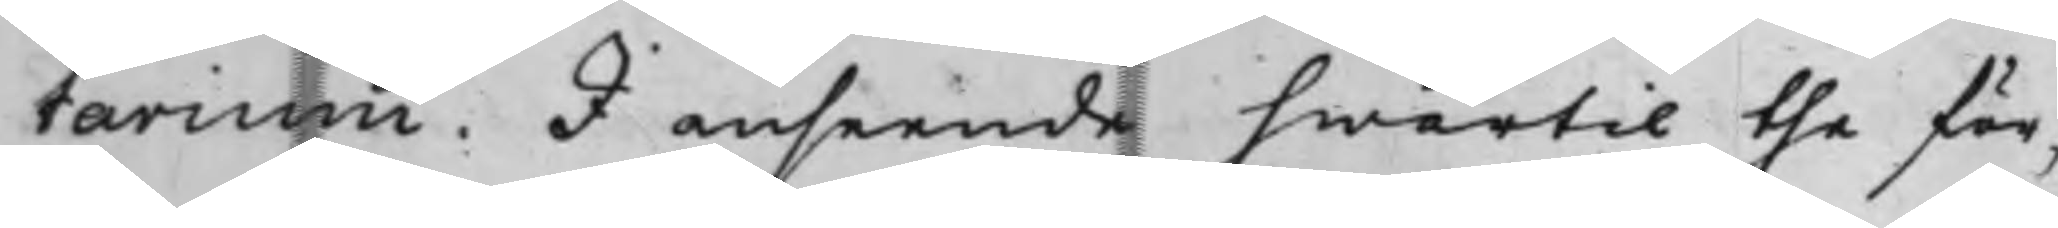tarium. I anseende hwartil the för¬
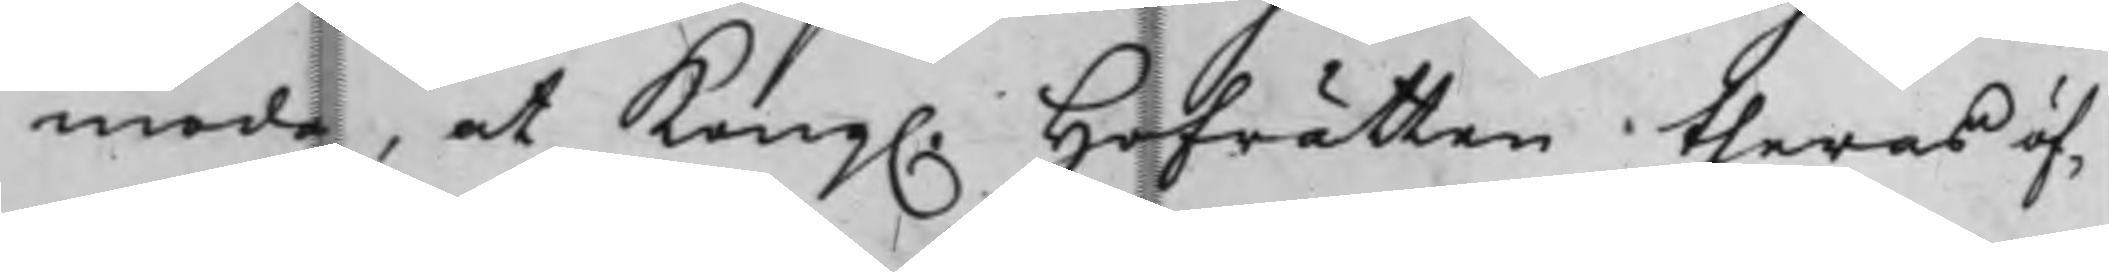moda, at Kong. Hofrätten theras öf¬
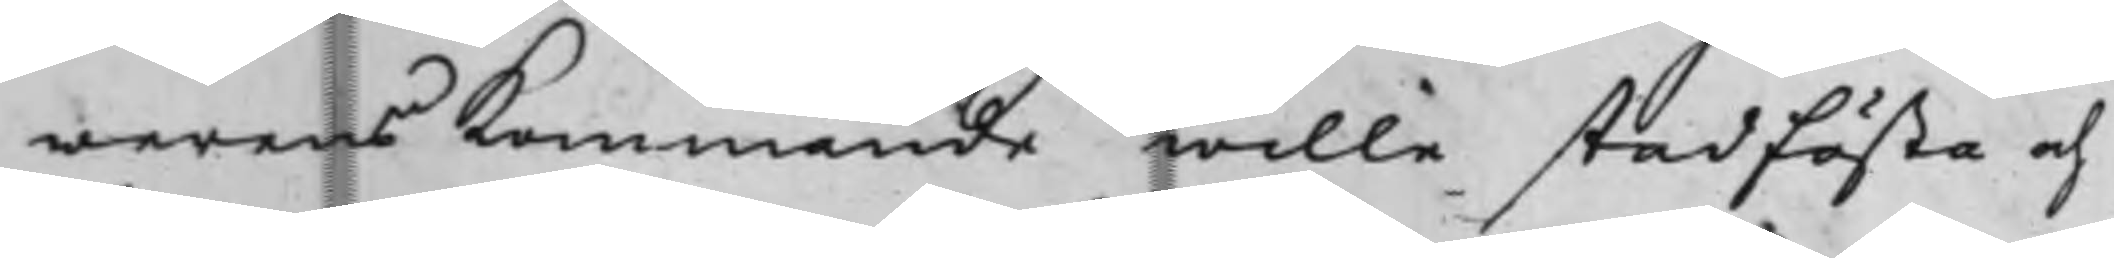werensKommande wille stadfästa och
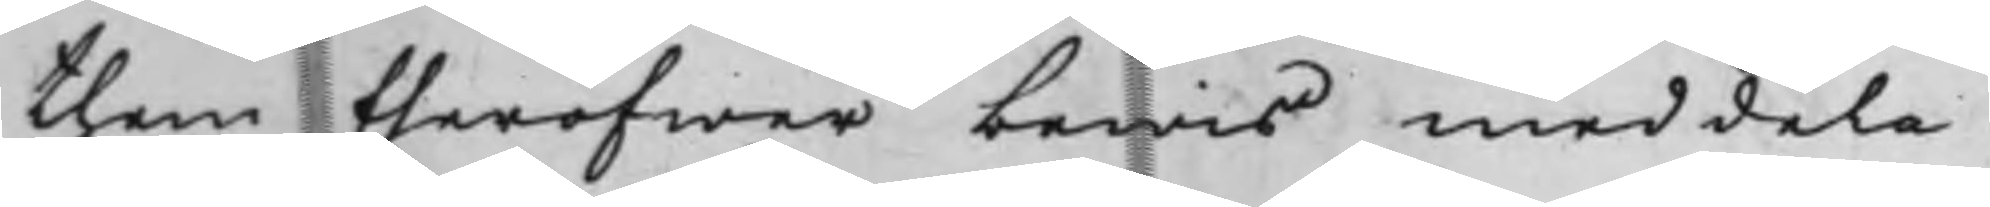them theröfwer bewis meddela.
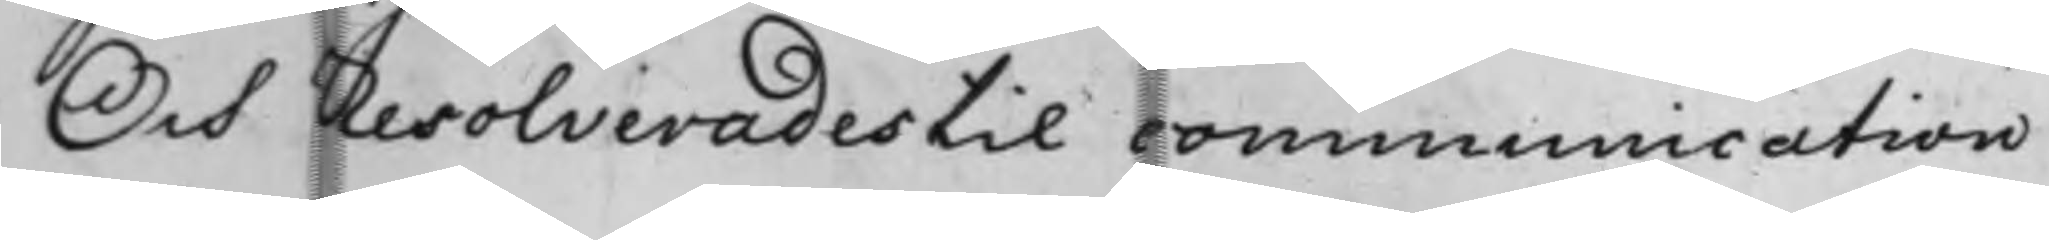Och Resolverades til communication
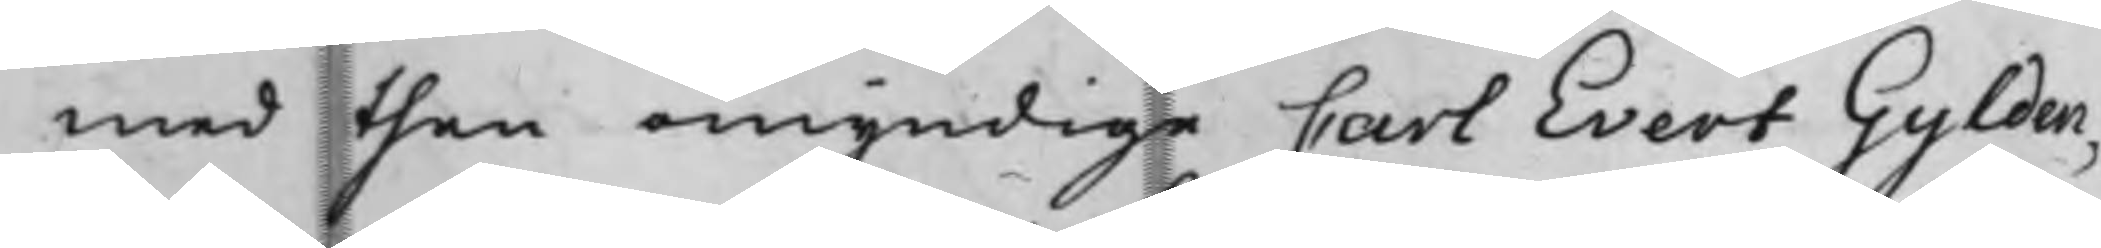med then omyndige Carl Evert Gylden¬
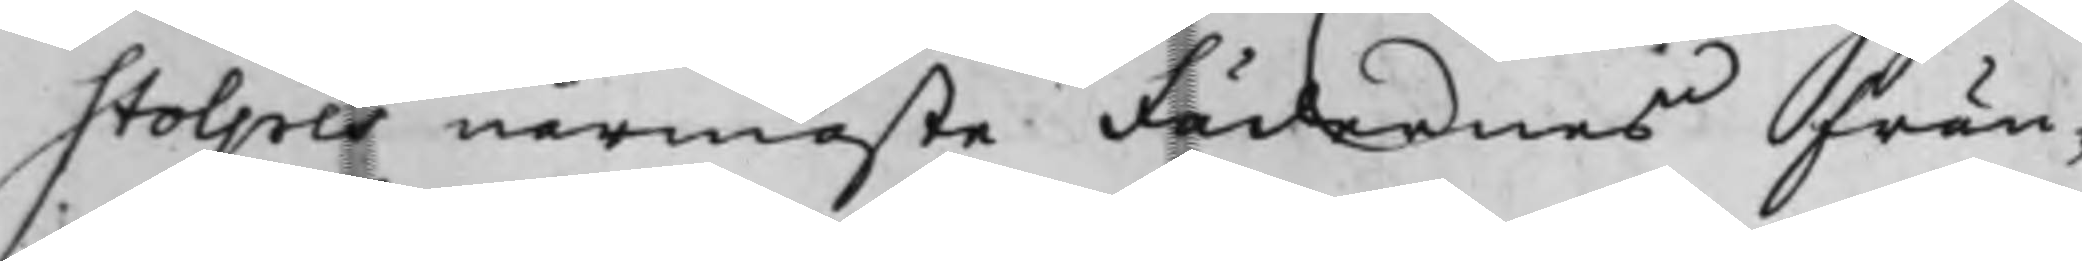stolpes närmaste Fädernes frän¬
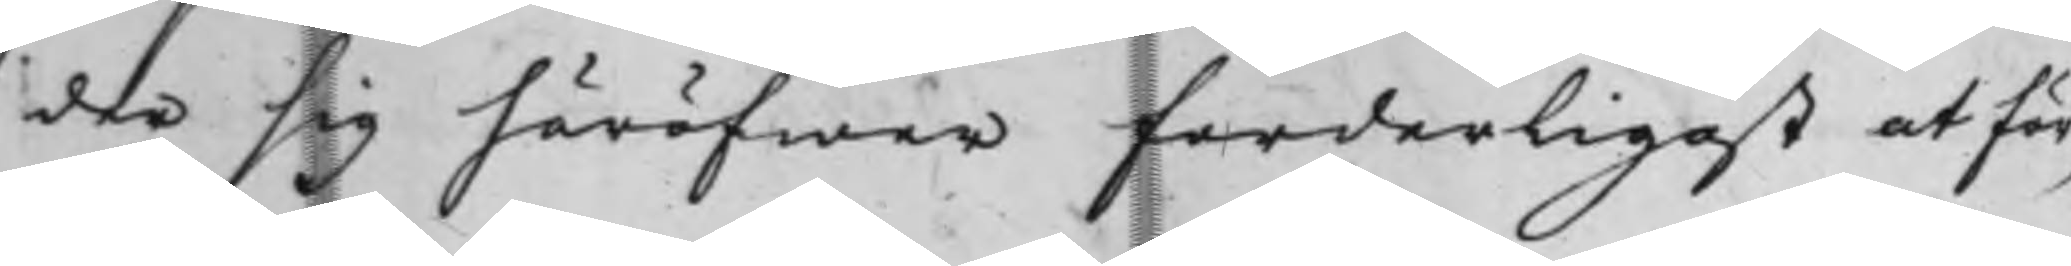der sig häröfwer forderligast at för¬
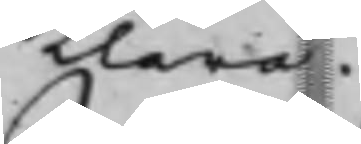klara.
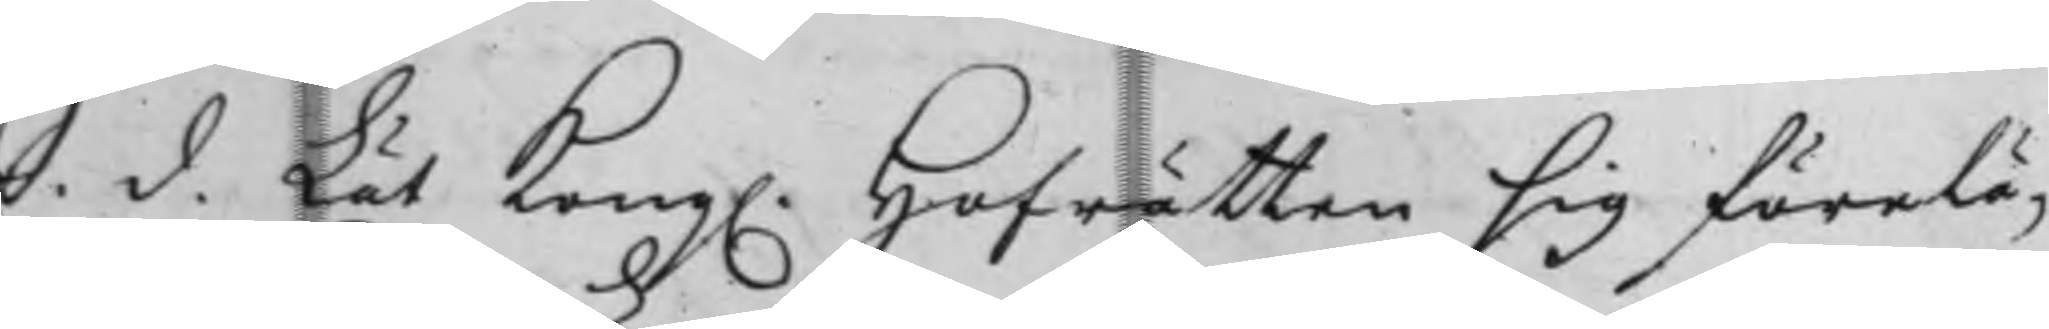S. d. Lät Kong. Hofrätten sig förelä¬
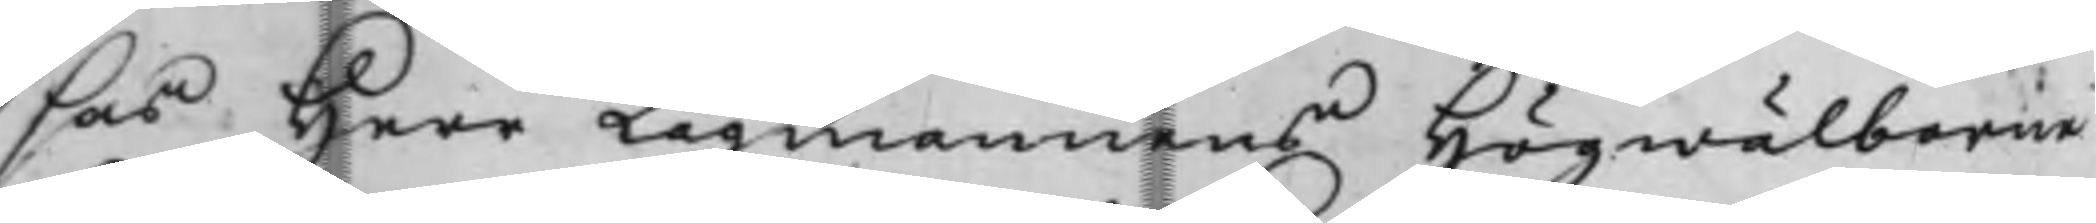sas Herr Lagmannens Högwälborne
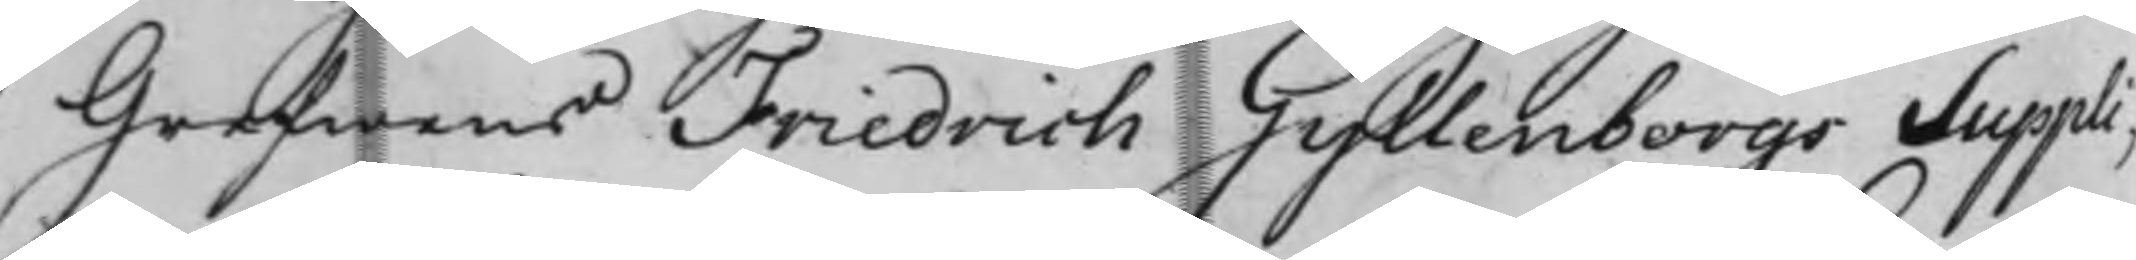Grefwens Friedrich Gyllenborgs Suppli¬
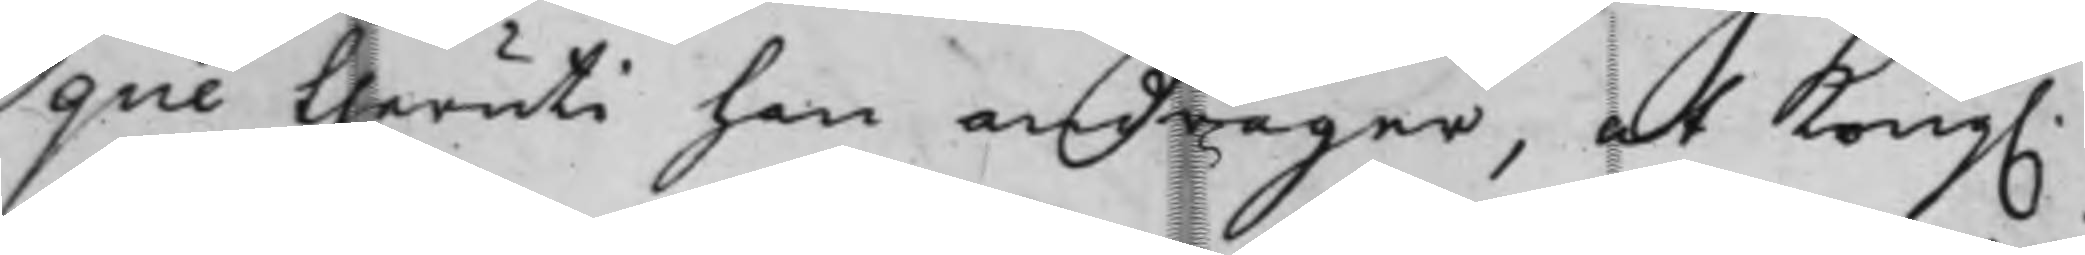que theruti han andrager, at Kong.
